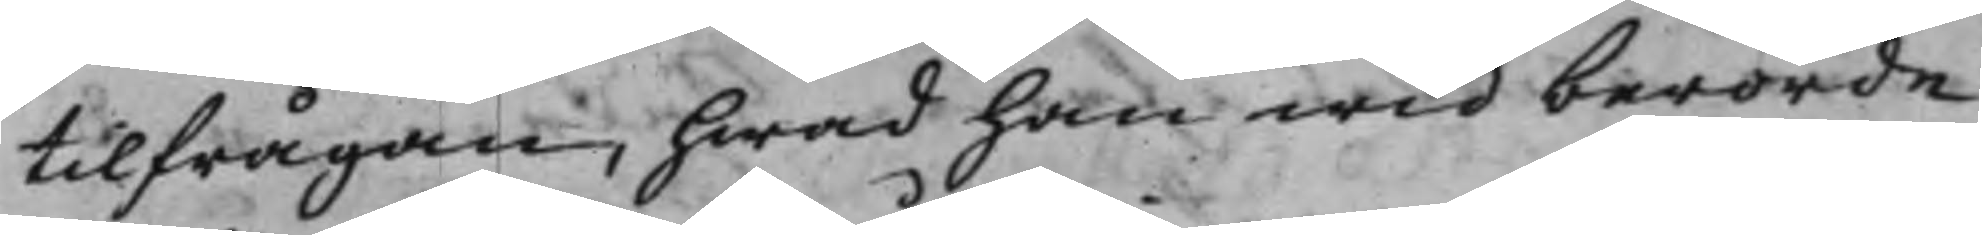tilfrågan, hwad han wid berörde
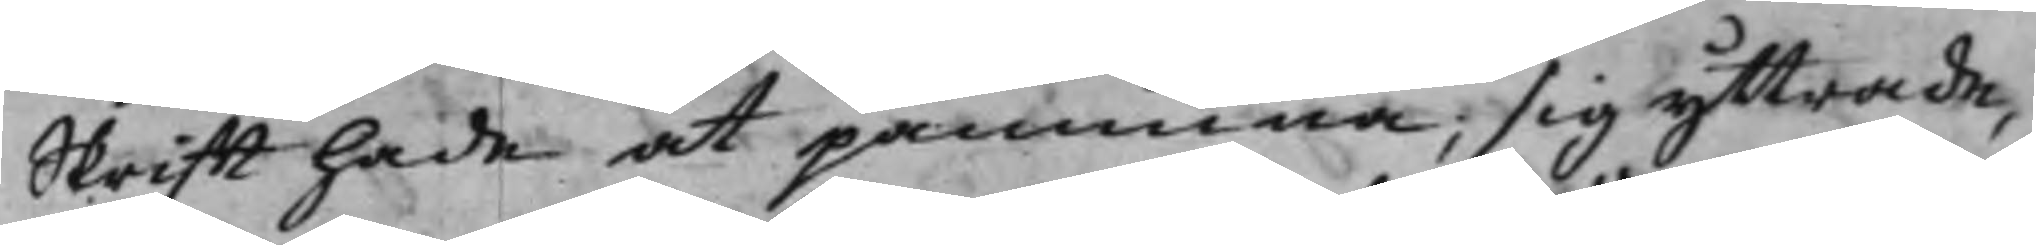Skrifft hade at påminna; sig yttrade,
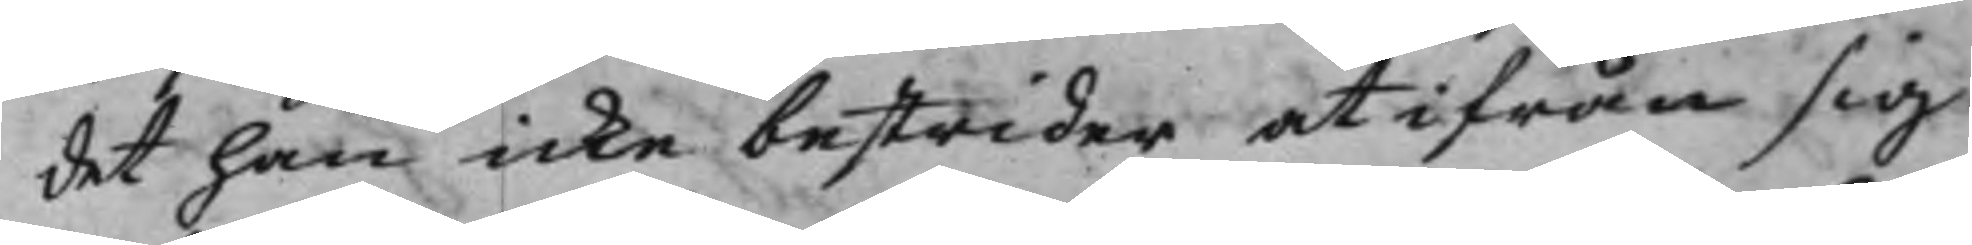det han icke bestrider, at ifrån sig
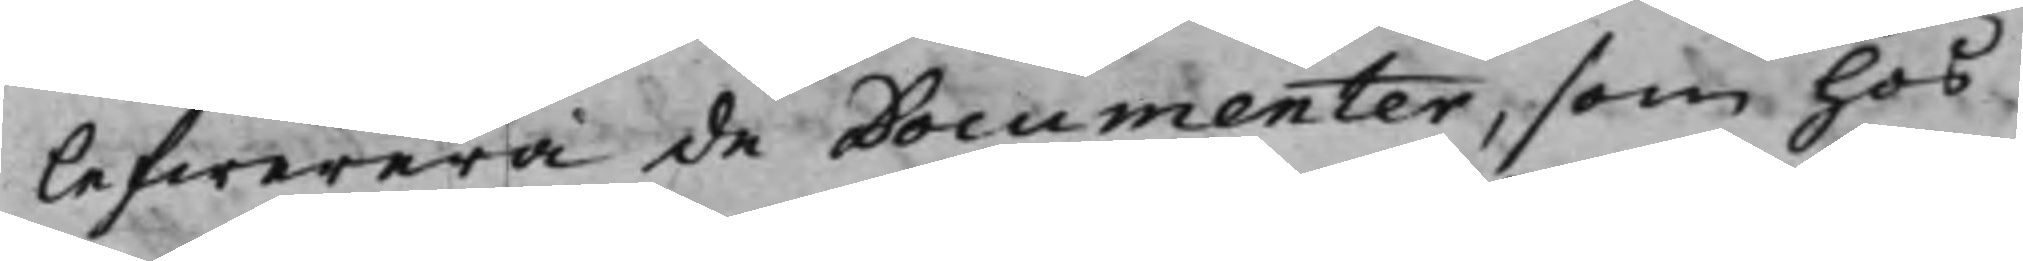lefwerera de Documenter, som hos
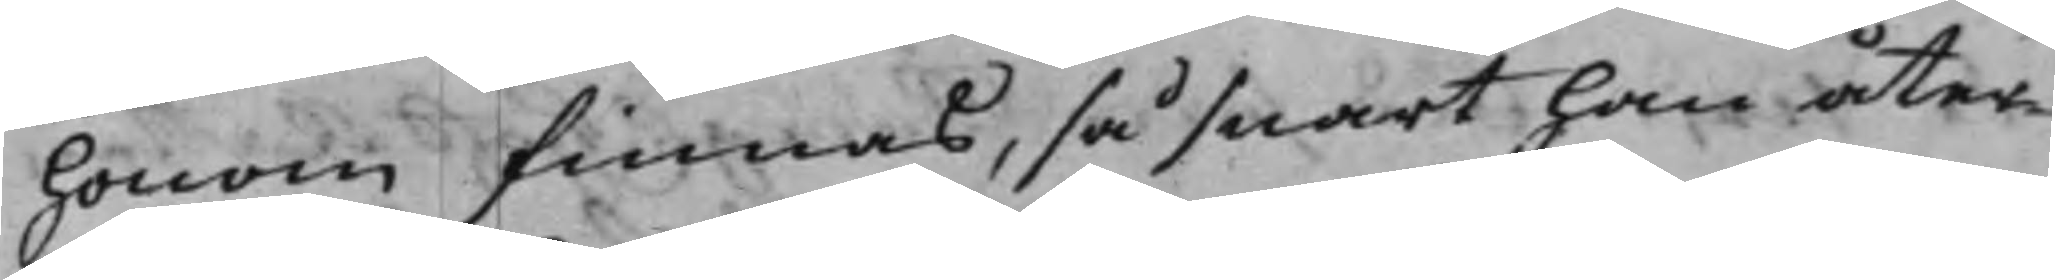honom finnas, så snart han åter¬
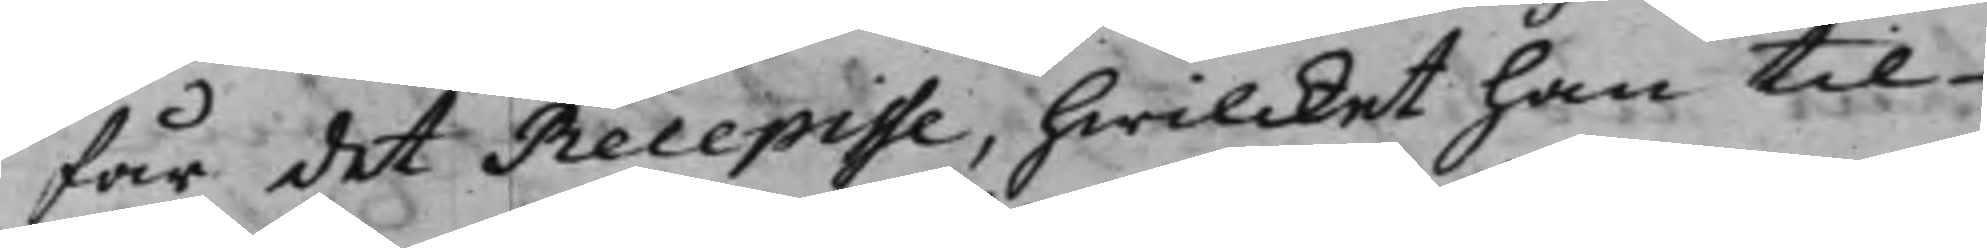får det Recepisse, hwilcket han til
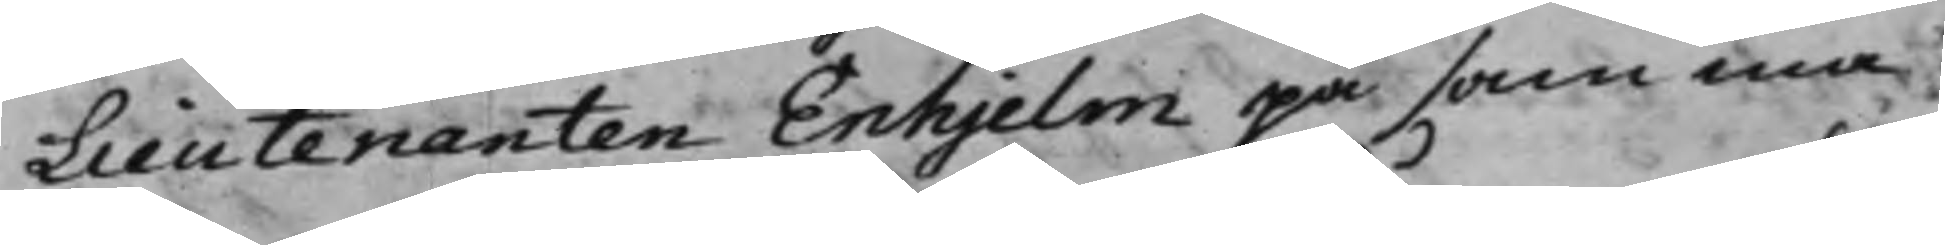Lieutenanten Enhjelm på samma
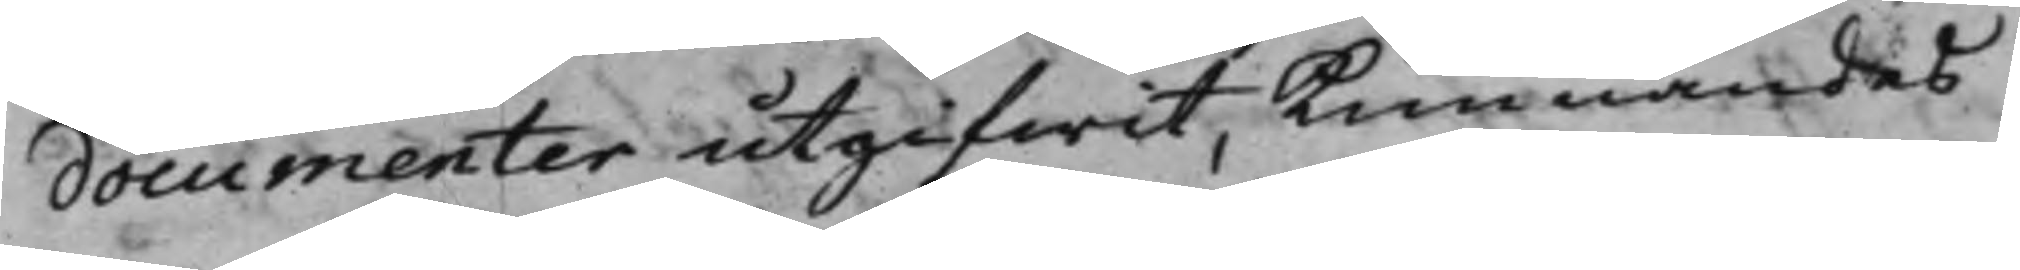documenter utgifwit, Kunnandes
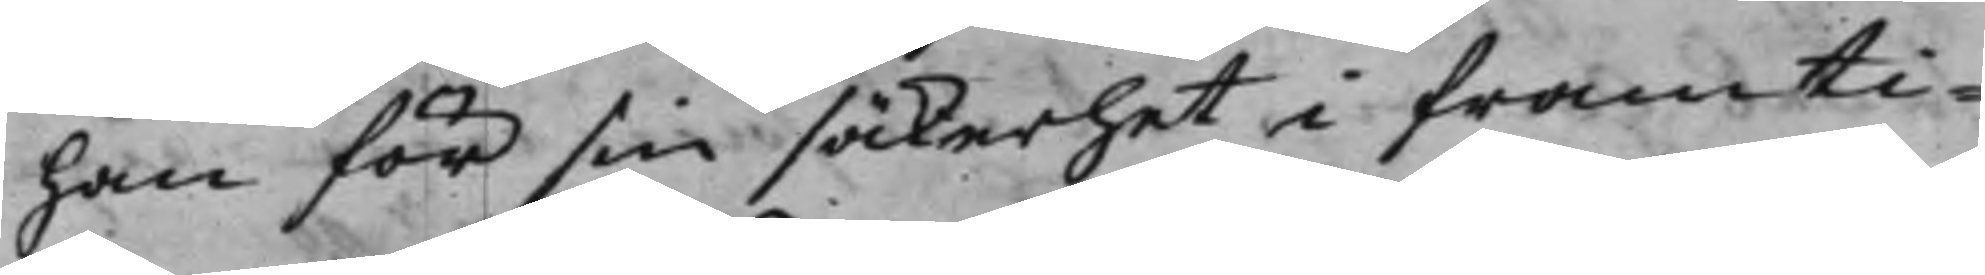han för sin säkerhet i framti¬
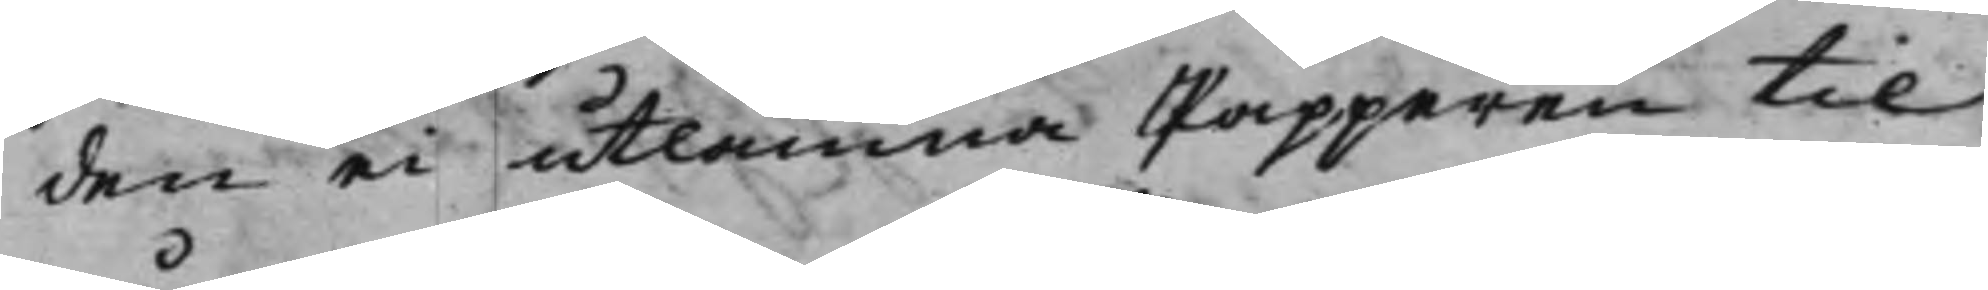den ei utlämna Papperen til
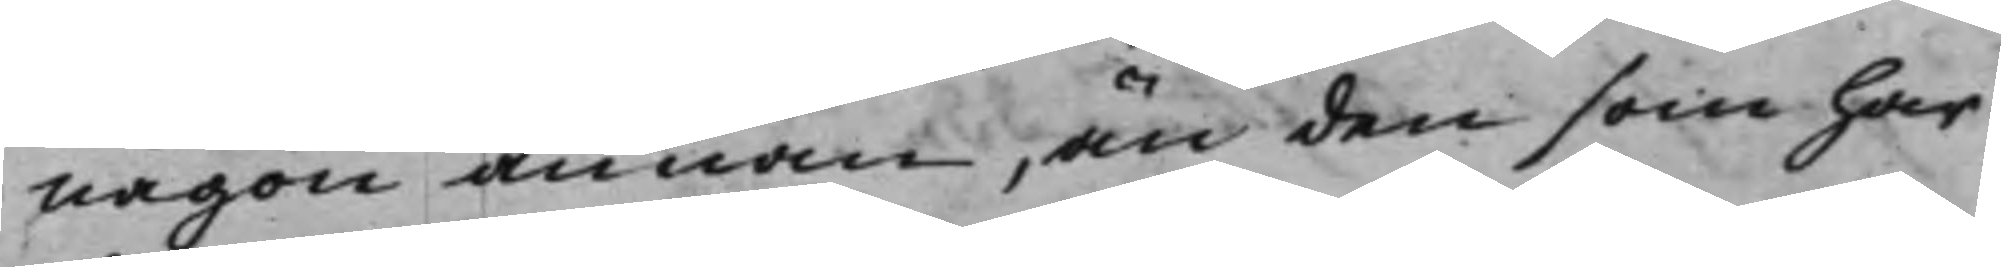någon annan, än den som har
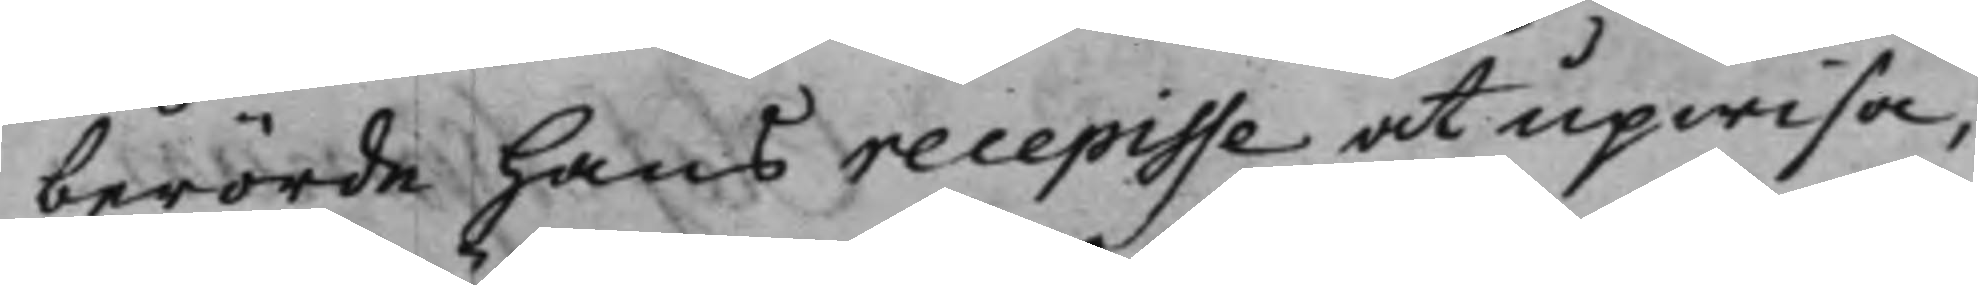berörde hans recepisse at upwisa,
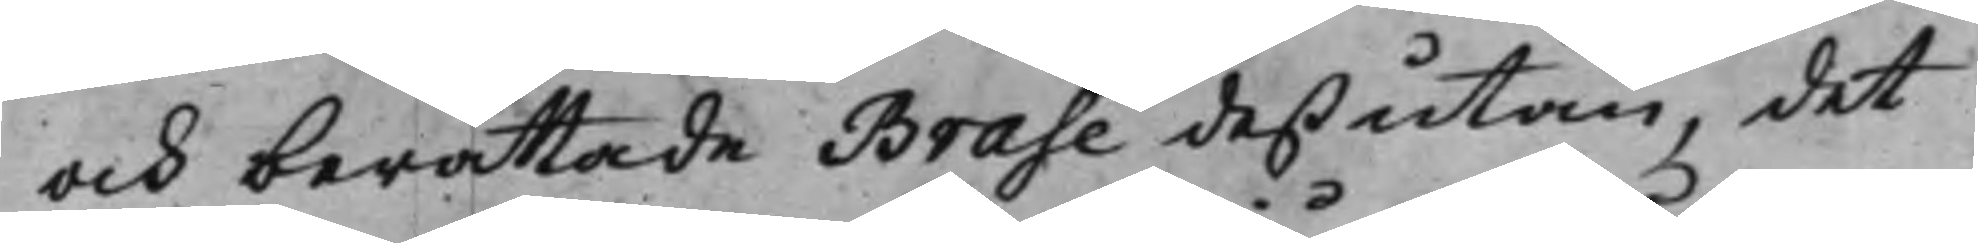och berättade Brase deßutan, det
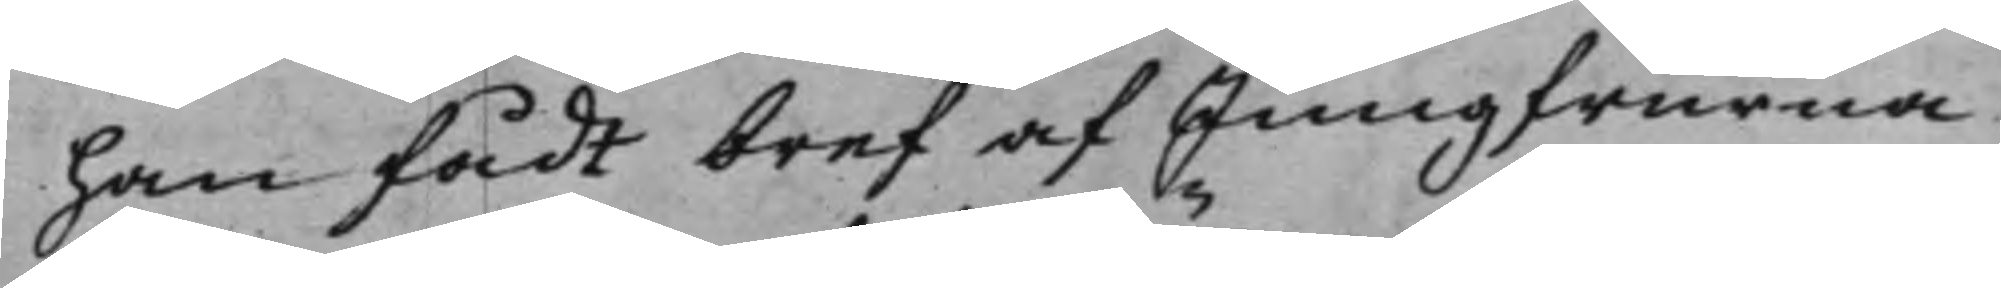han fådt bref af Jungfrurna
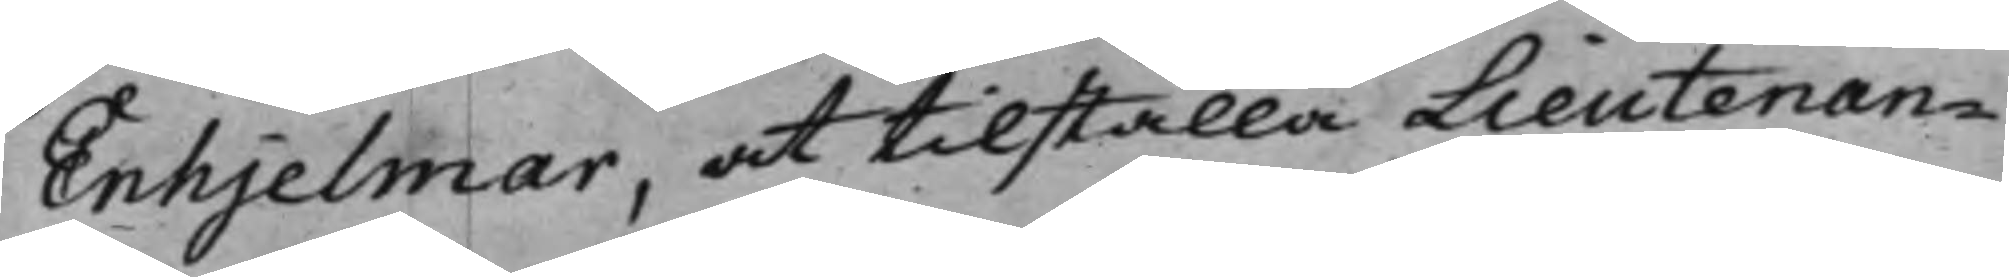Enhjelmar, at tilställa Lieutenan¬
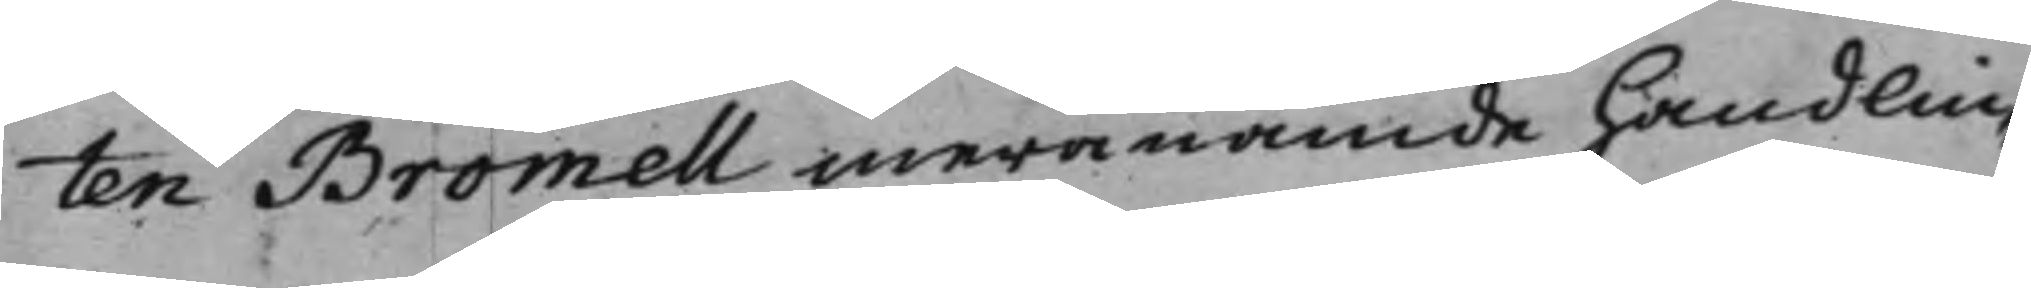ten Bromell meranämde handlin¬
